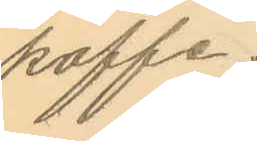kaffe;
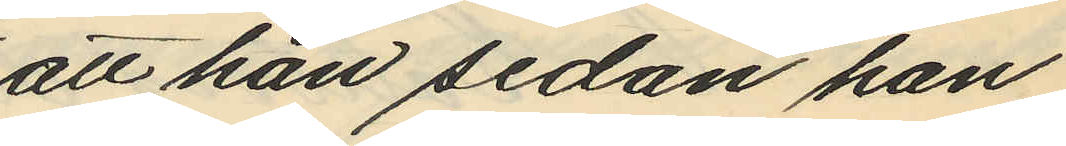att han sedan han
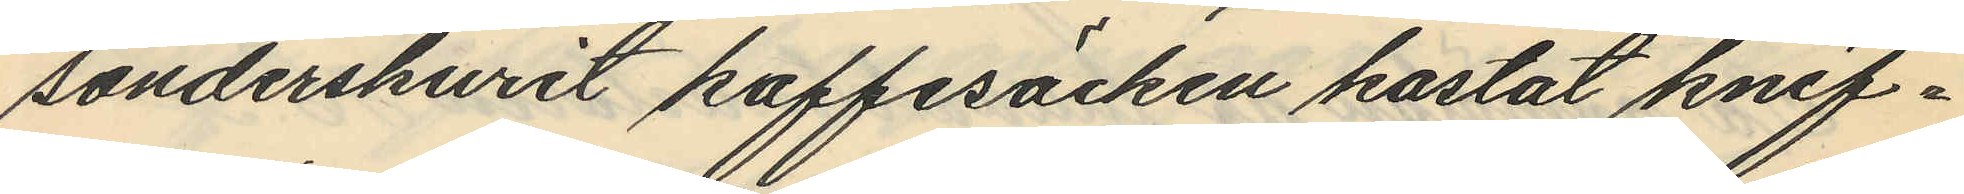sönderskurit kaffesäcken kastat knif¬
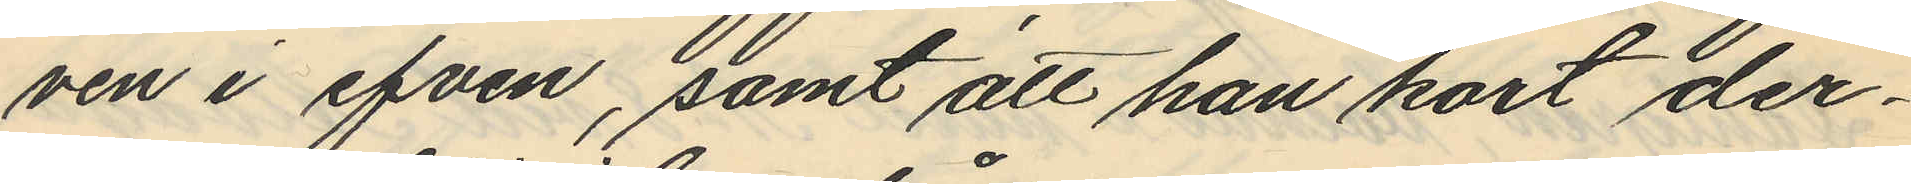ven i efven, samt att han kort der¬
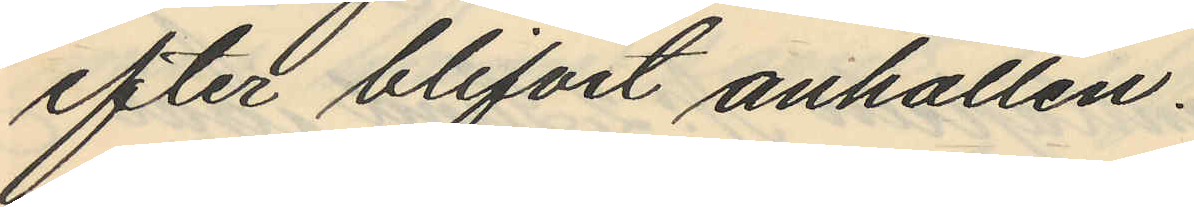efter blifvit anhållen.
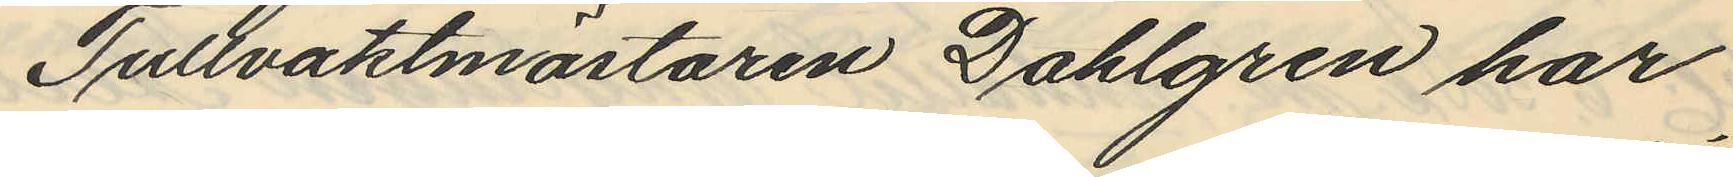Tullvaktmästaren Dahlgren har
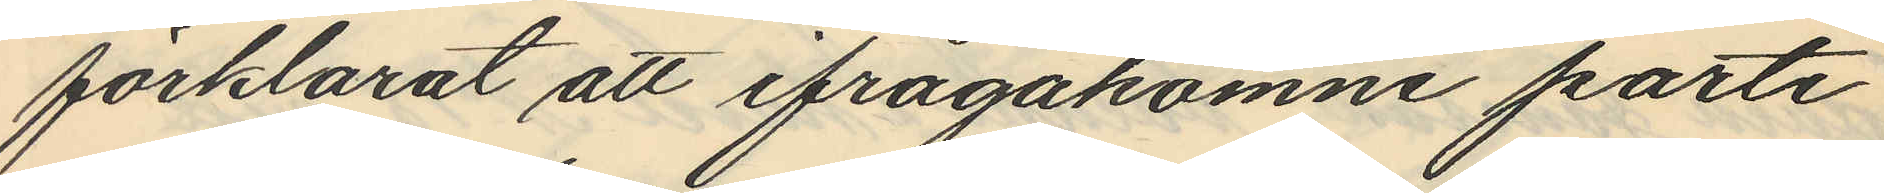förklarat att ifrågakomne parti
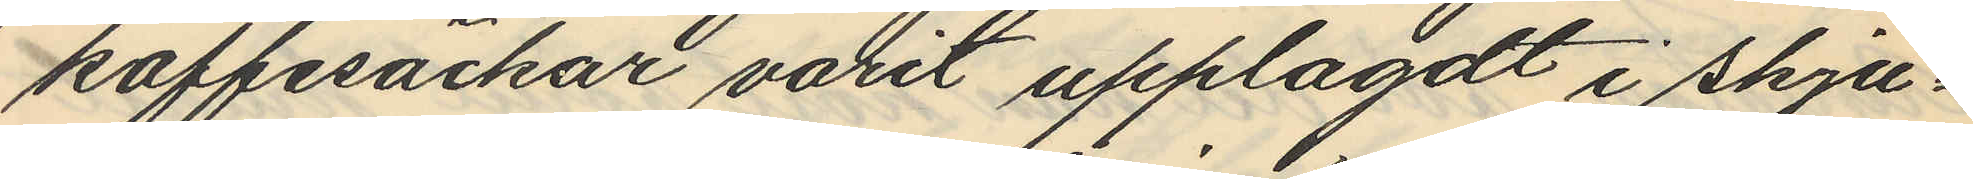kaffesäckar varit upplagdt i skju¬
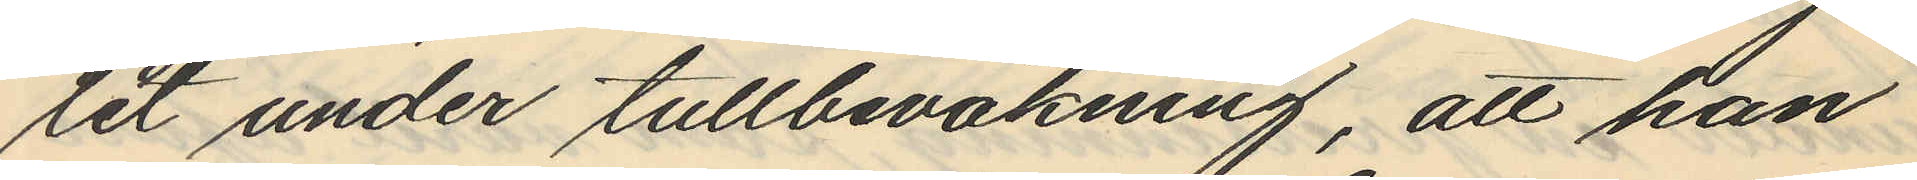let under tullbevakning, att han
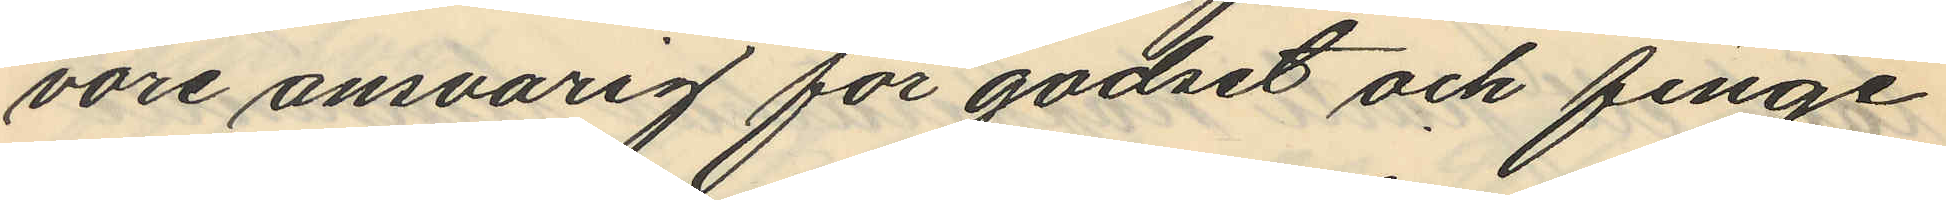vore ansvarig för godset och finge
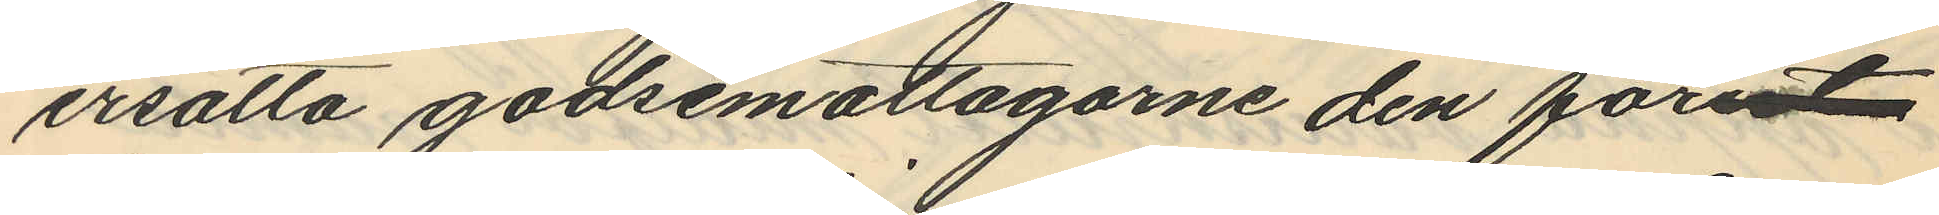ersätta godsemottagarne den förut
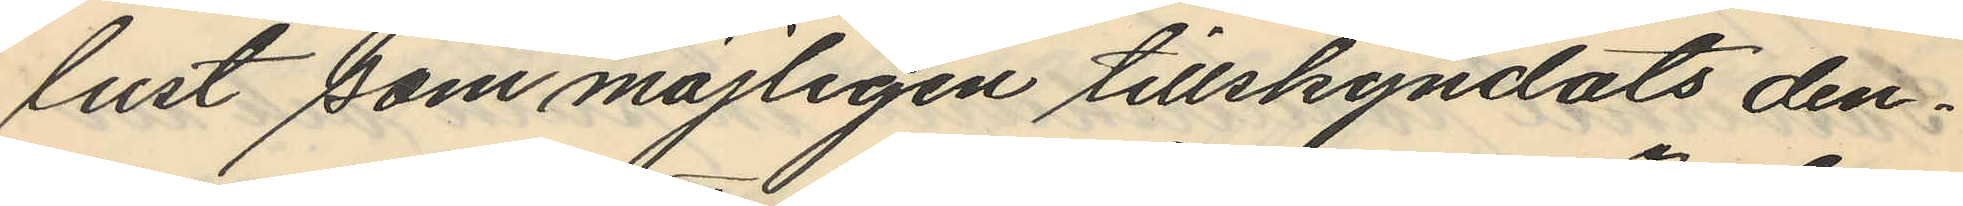lust som möjligen tillskyndats den¬
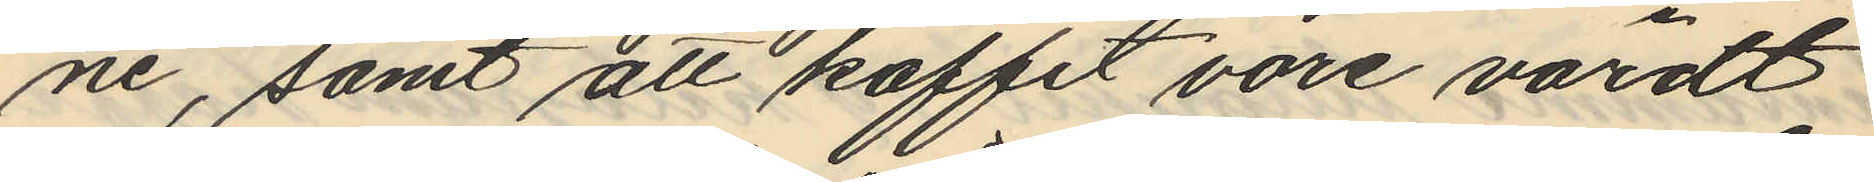ne, samt att kaffet vore värdt
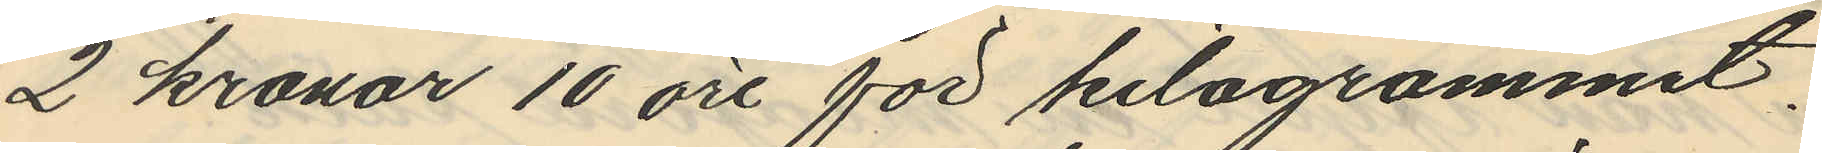2 kronor 10 öre för kilogrammet.
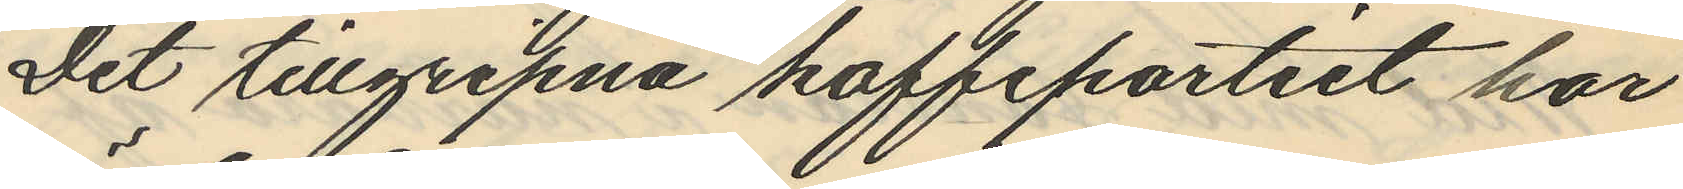Det tillgripna kaffepartiet har
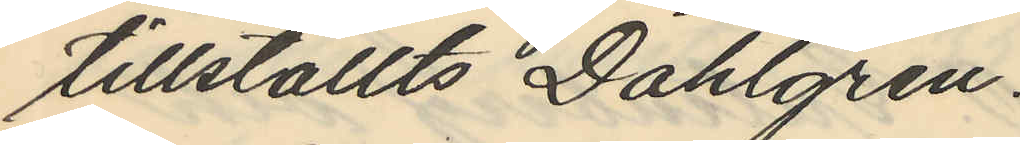tillställts Dahlgren.
